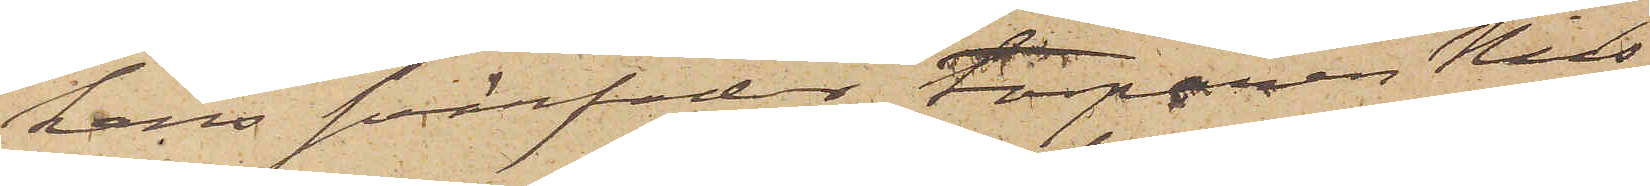hans svärfader Torparen Nils
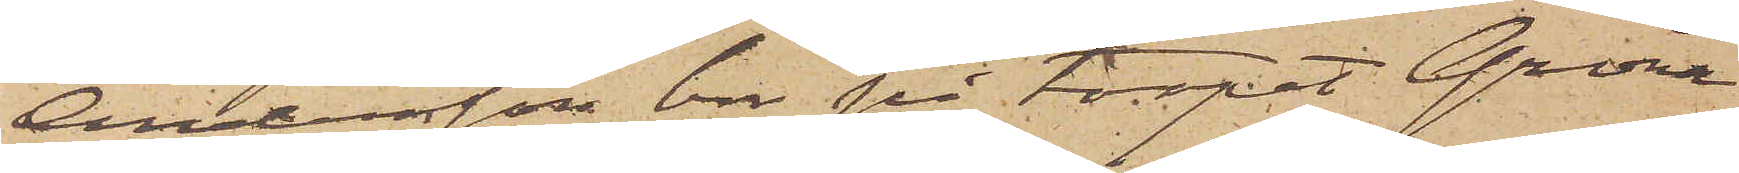Andersson bor på torpet Gröna¬
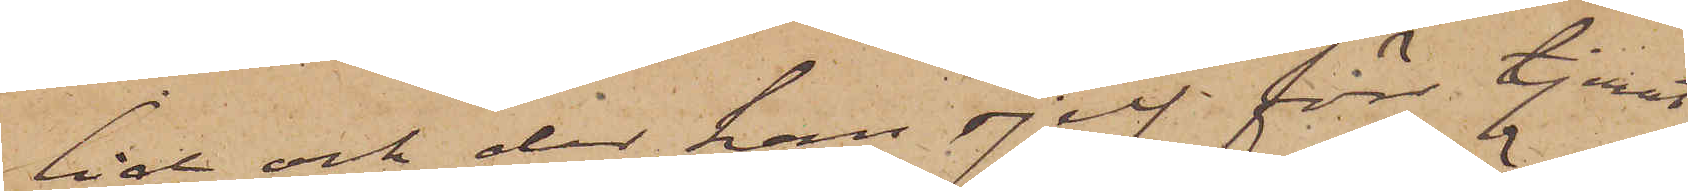lid och der han sjelf förr tjenat
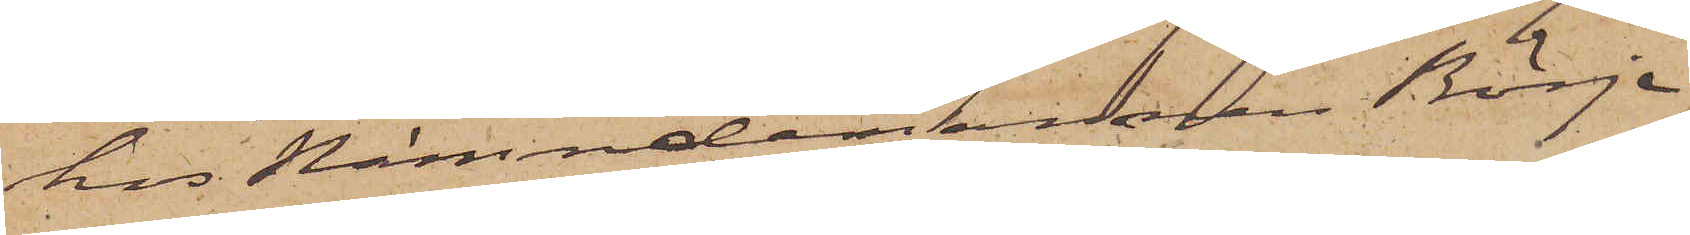hos Nämndemannen Börje
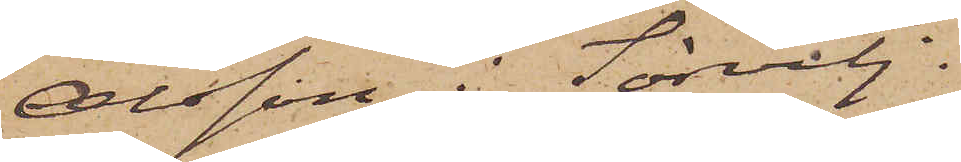Olsson i Sörvilj.
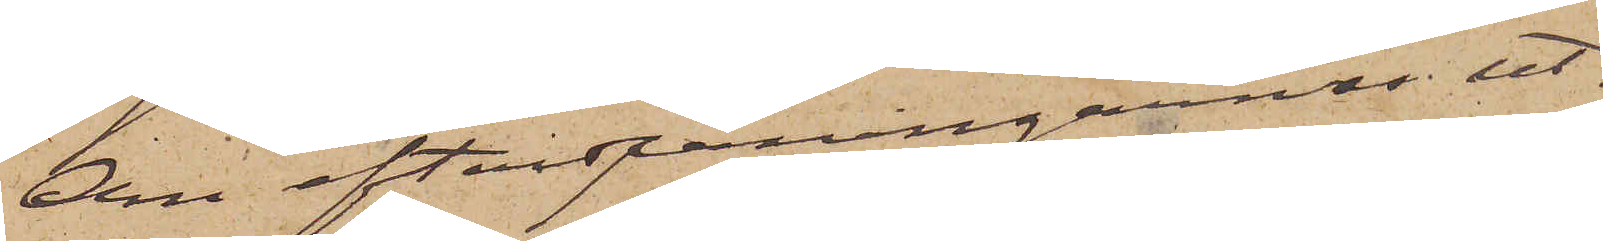Om efterspaningarnes ut¬
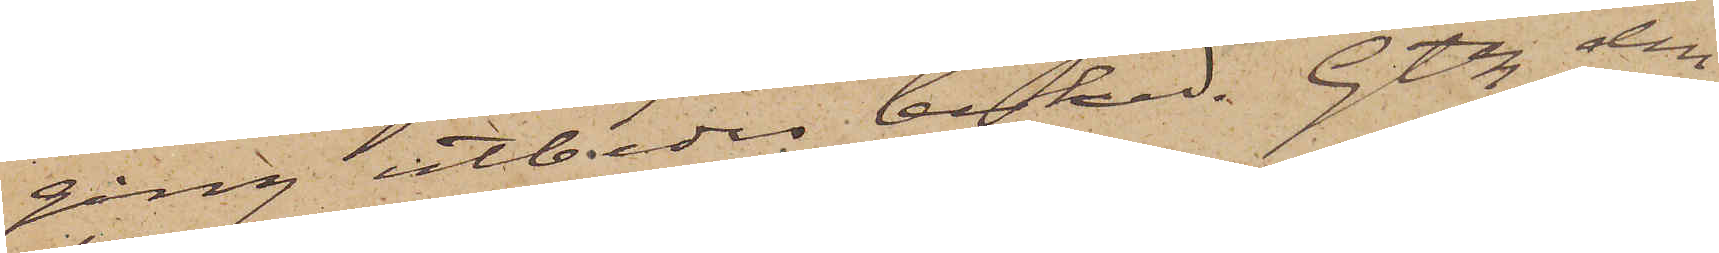gång utbedes besked. Gtbg den
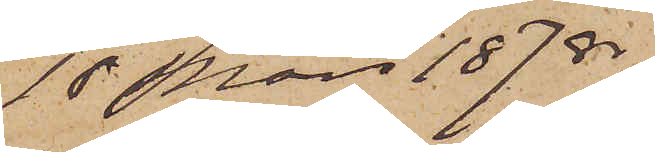18 Mars 1878.
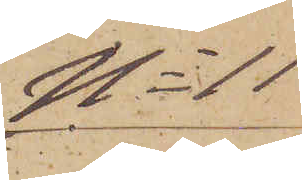No 11
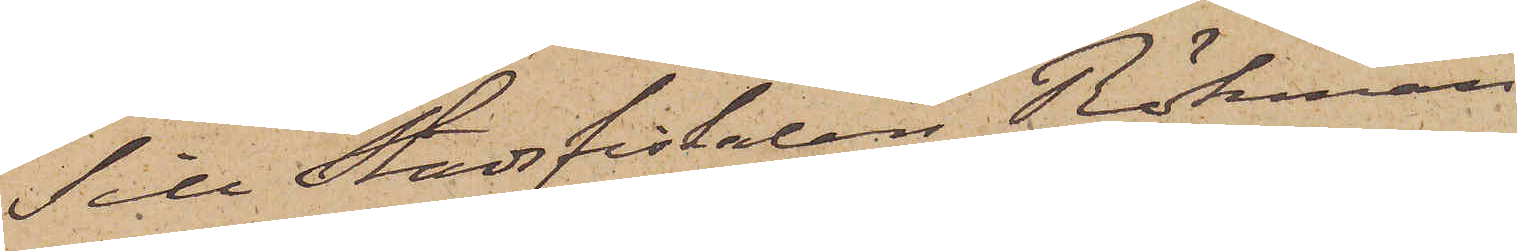Till Stadsfiskalen Röhman
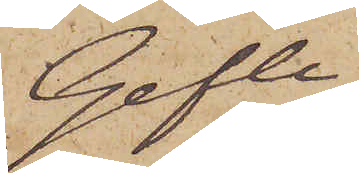Gefle
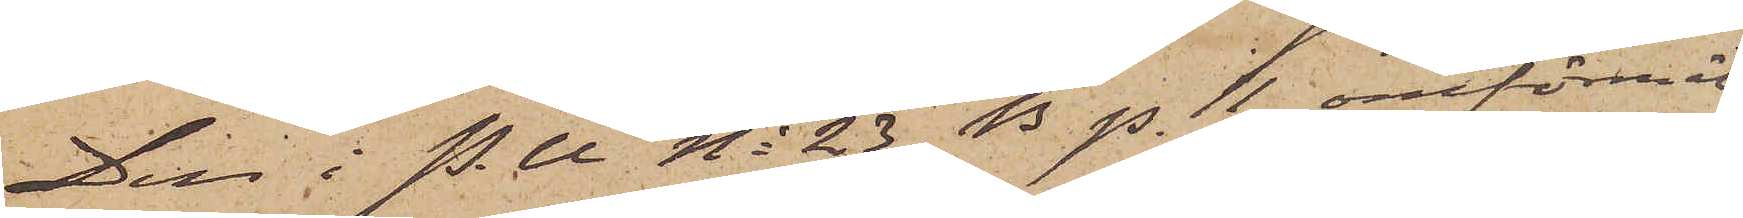Den i P.U. No 23 B. p. 11 omförmäl¬
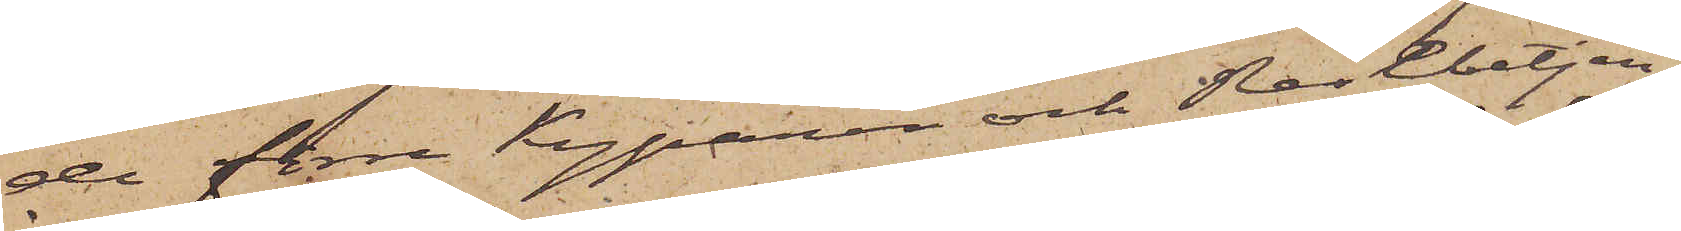de förre kyparen och Resebetjen¬
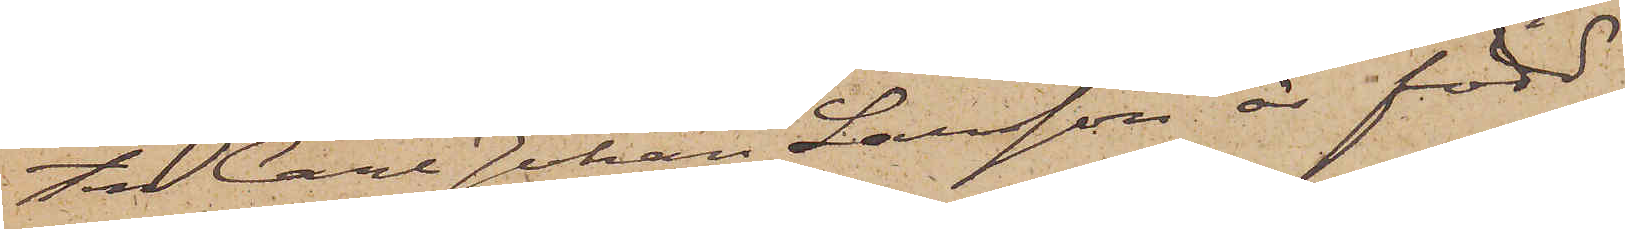ten Carl Johan Larsson är född
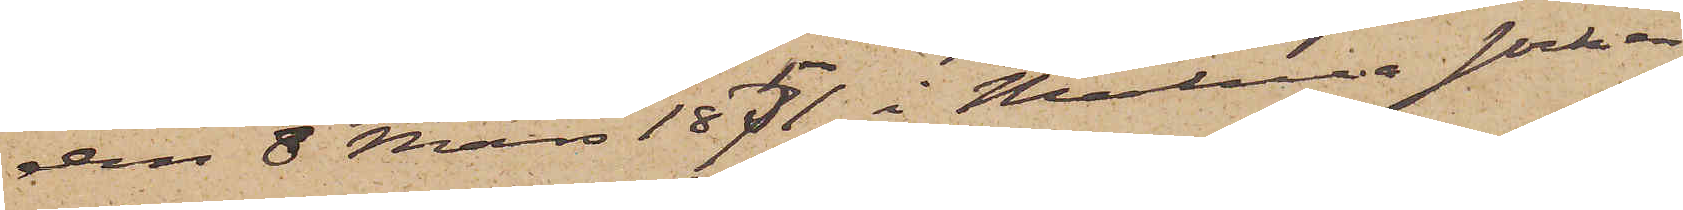den 8 Mars 1851 i Malma socken
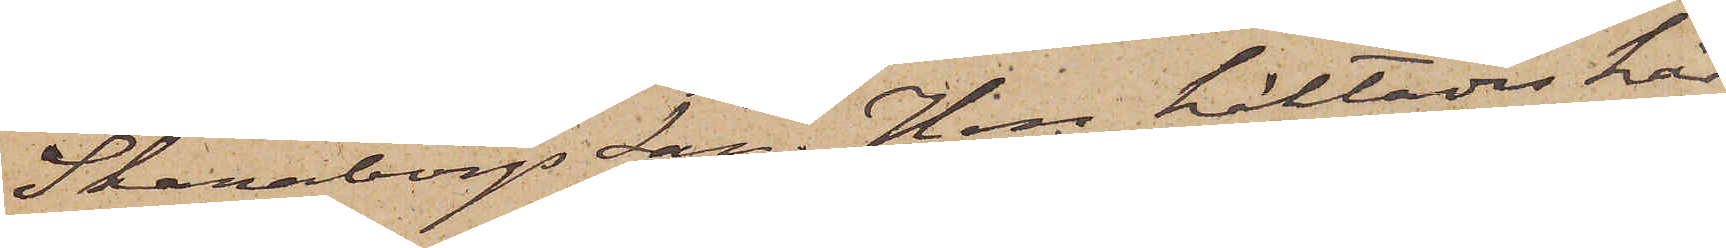Skaraborgs län. Han häktades här
